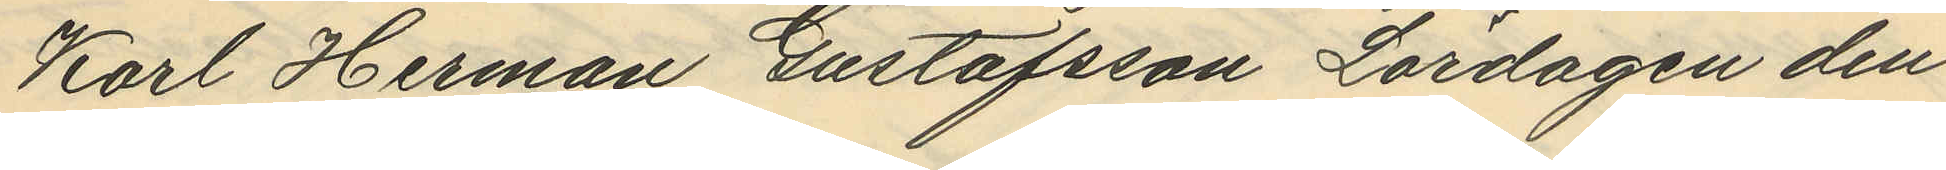Karl Herman Gustafsson Lördagen den
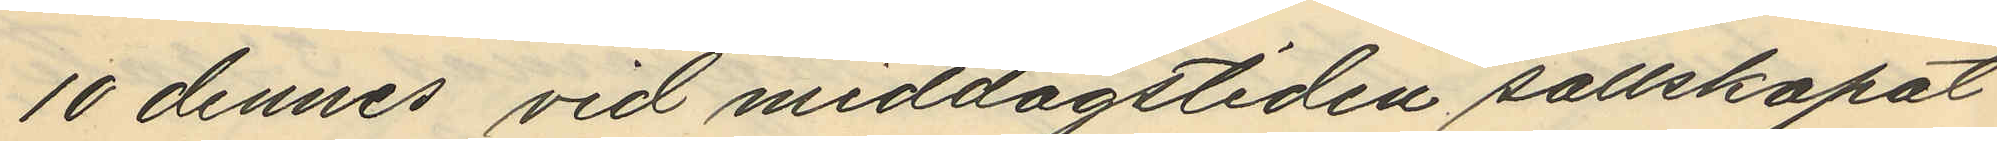10 dennes vid middagstiden sällskapat
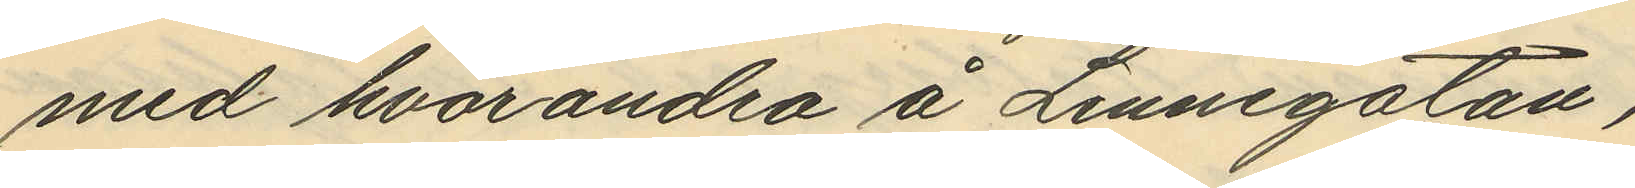med hvarandra å Linnegatan,
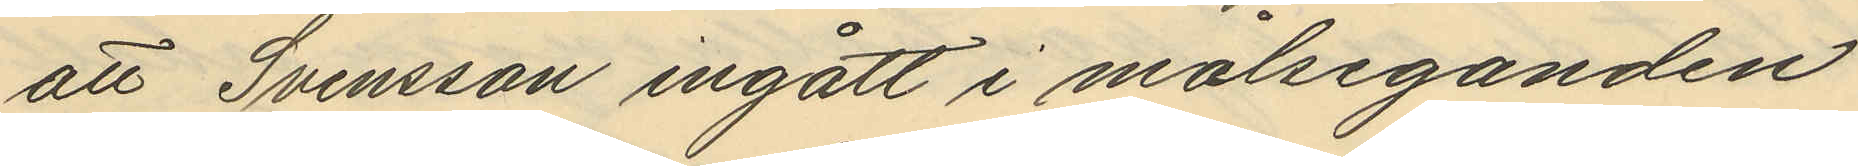att Svensson ingått i målseganden
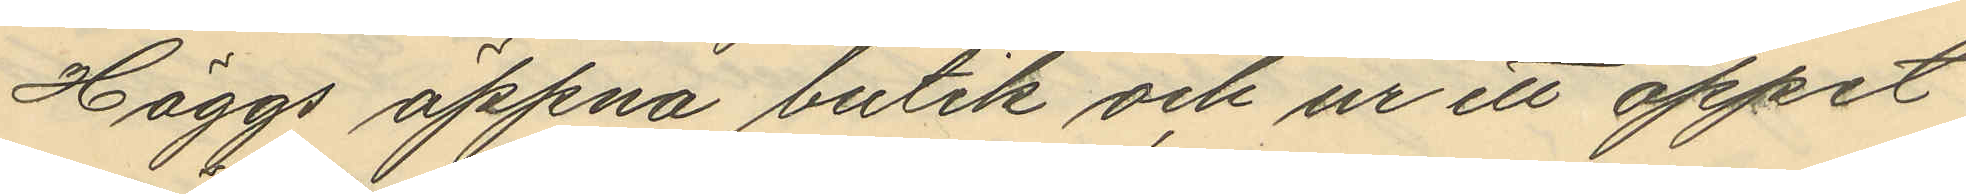Häggs öppna butik och ur ett öppet
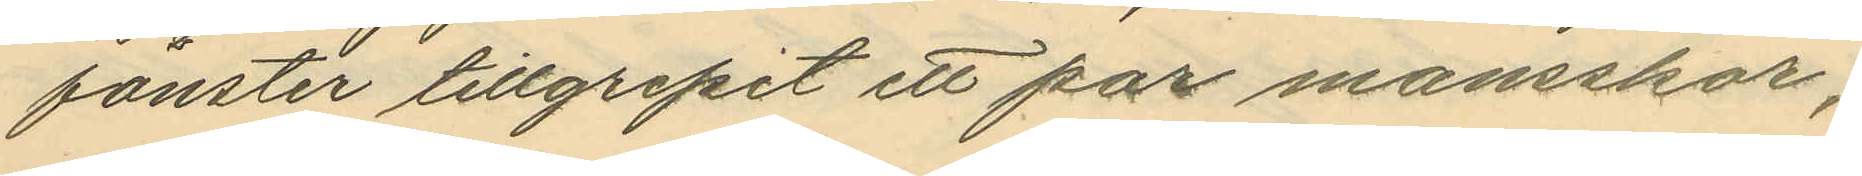fönster tillgripit ett par mansskor;
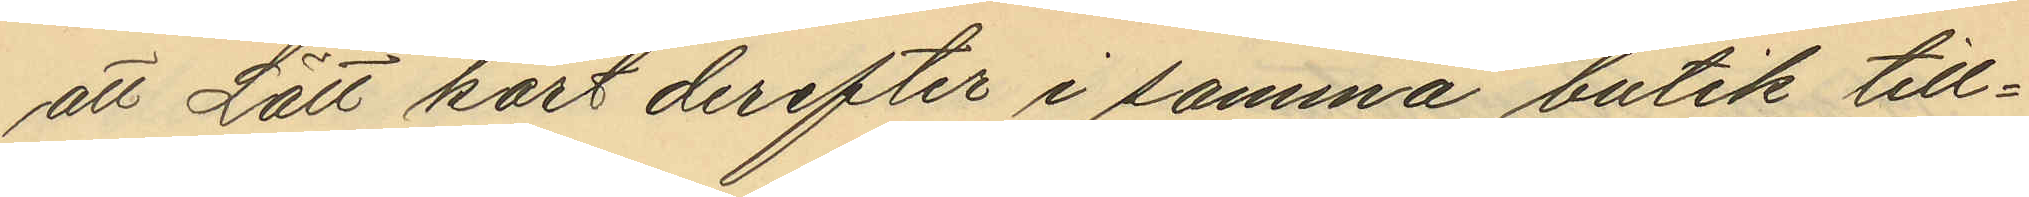att Lätt kort derefter i samma butik till¬
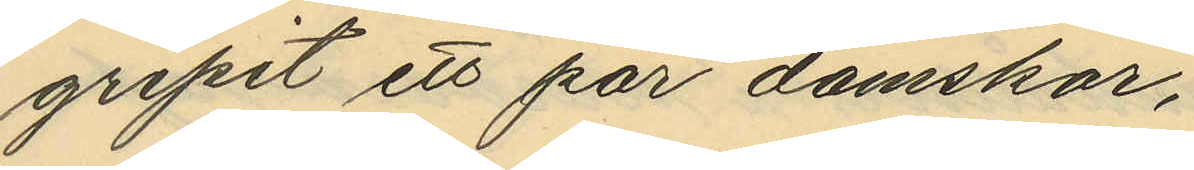gripit ett par damskor,
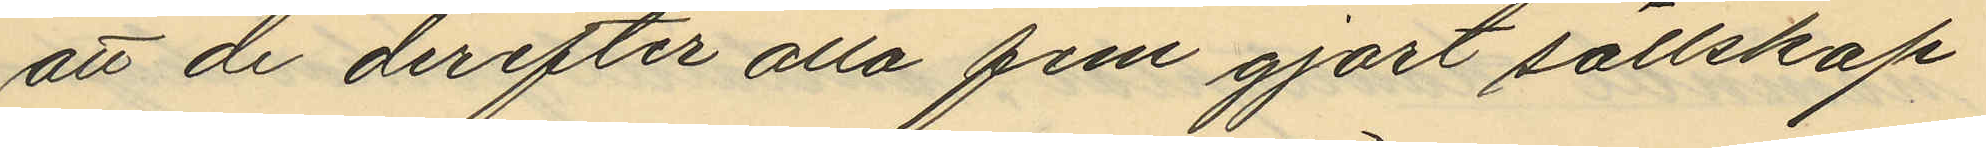att de derefter alla fem gjort sällskap
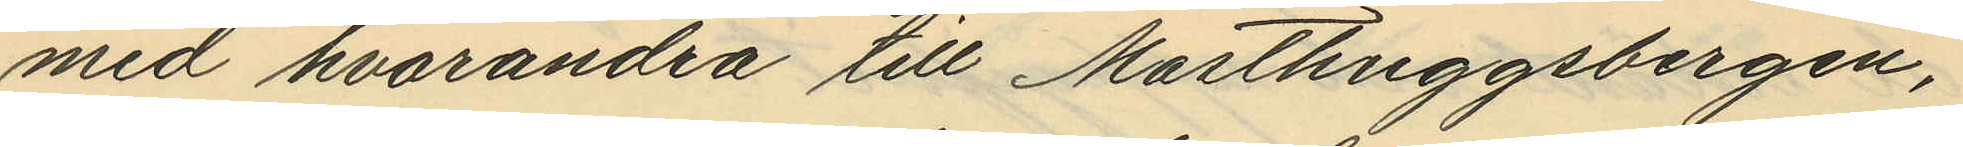med hvarandra till Masthuggsbergen,
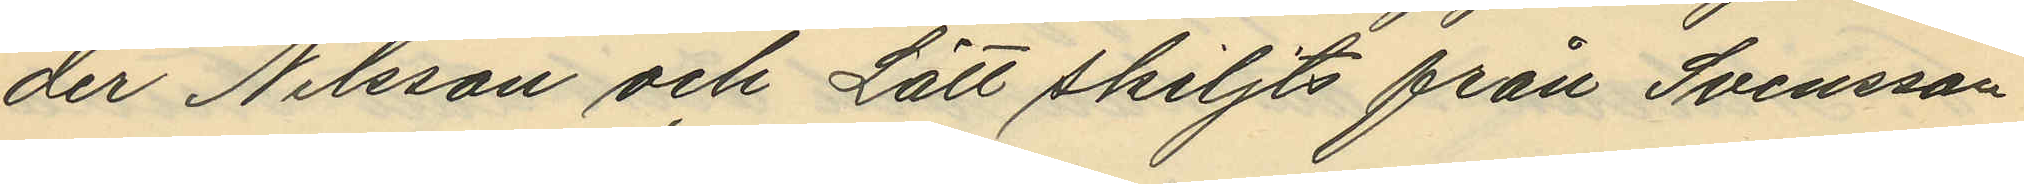der Nilsson och Lätt skiljts från Svensson
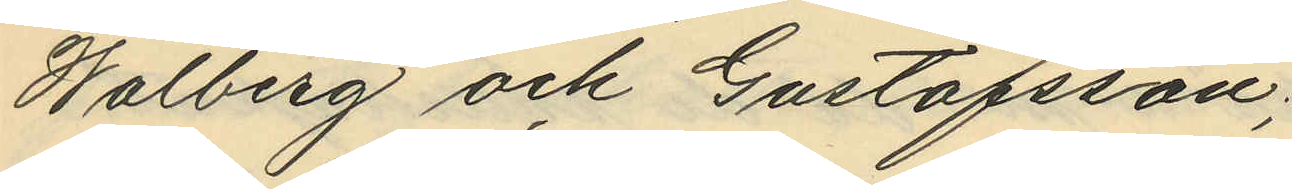Walberg och Gustafsson;
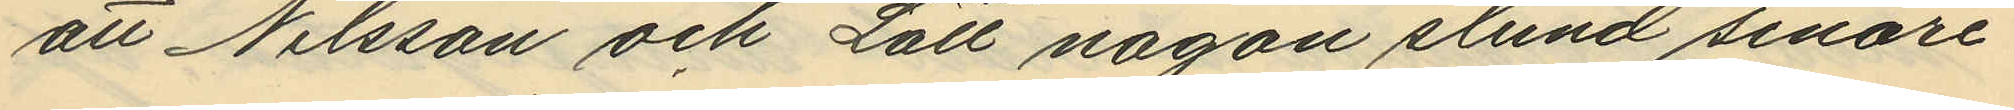att Nilsson och Lätt någon stund senare
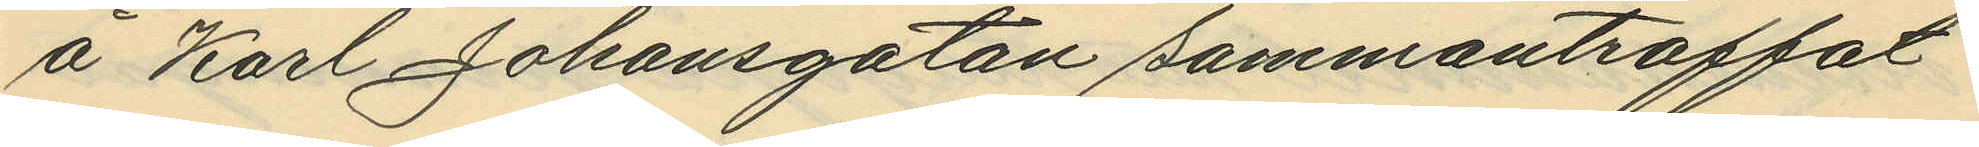å Karl Johansgatan sammanträffat
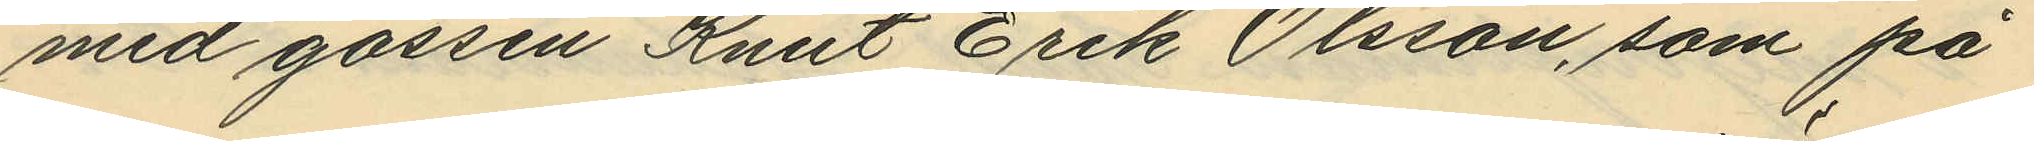med gossen Knut Erik Olsson, som på
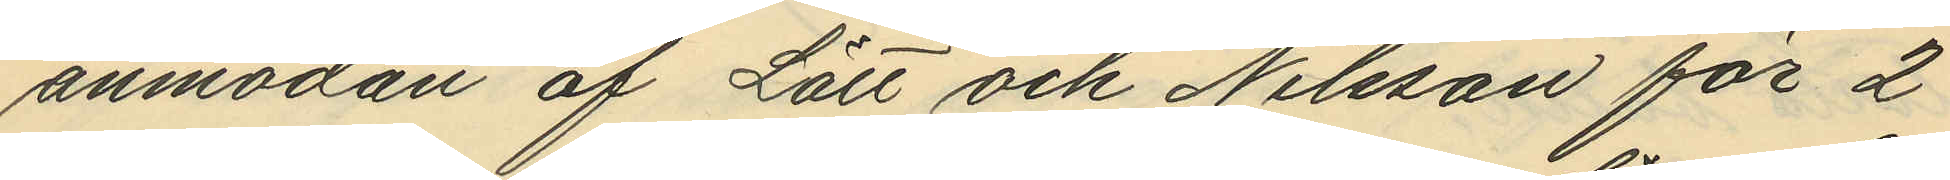anmodan af Lätt och Nilsson för 2
